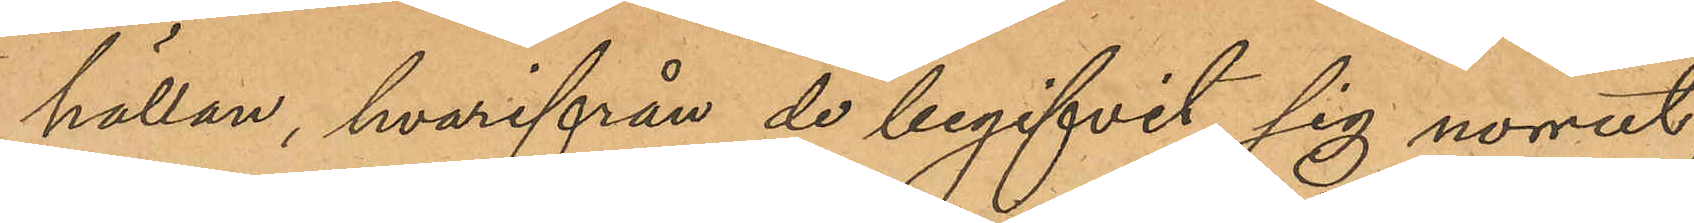hättan, hvarifrån de begifvit sig norrut;
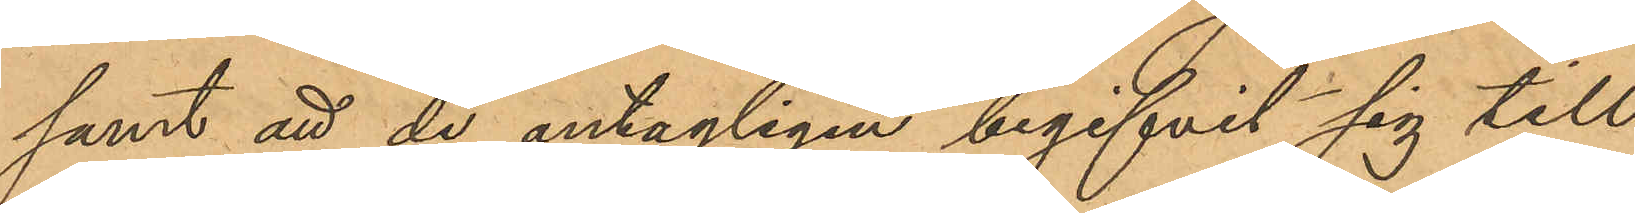samt att de antagligen begifvit sig till
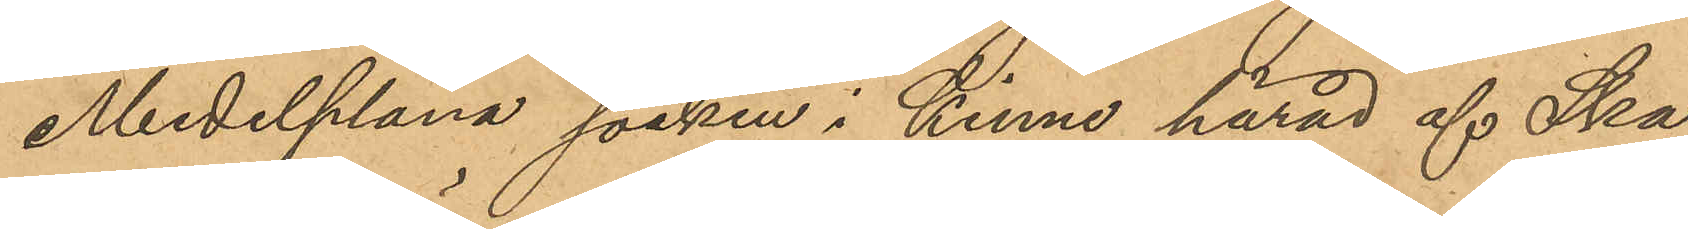Medelplana socken i Kinne härad af Ska¬
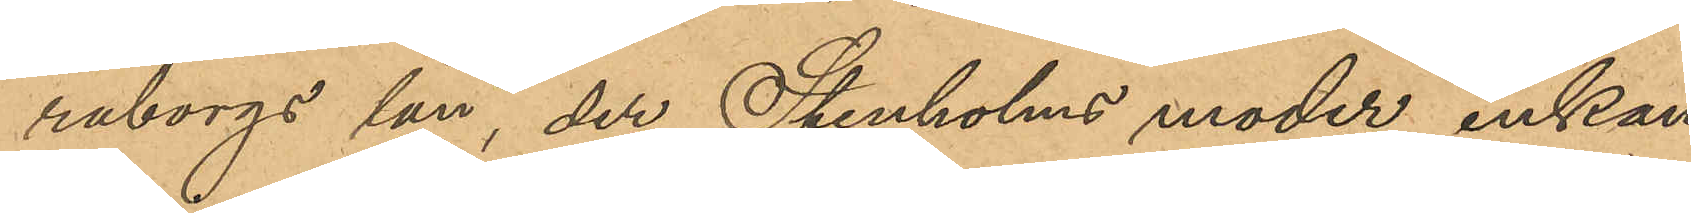raborgs län, der Stenholms moder enkan
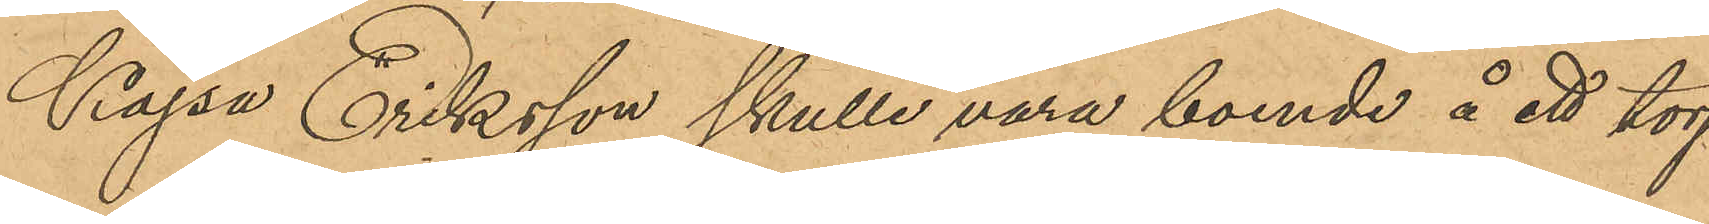Kajsa Eriksson skulle vara boende å ett torp
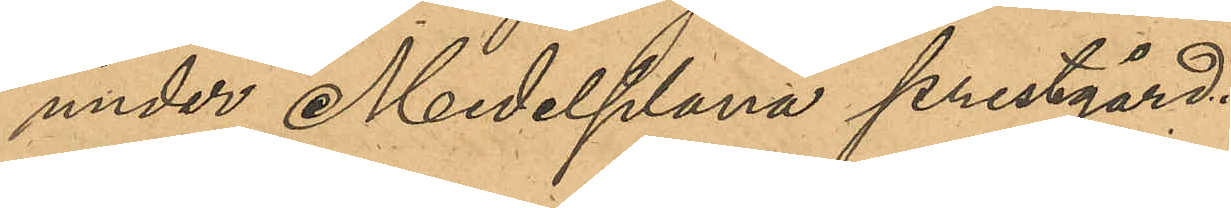under Medelplana prestgård.
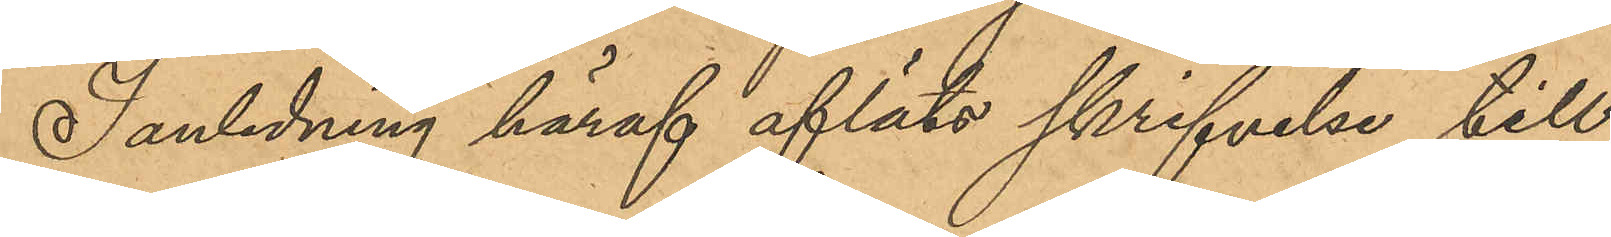I anledning häraf afläts skrifvelse till
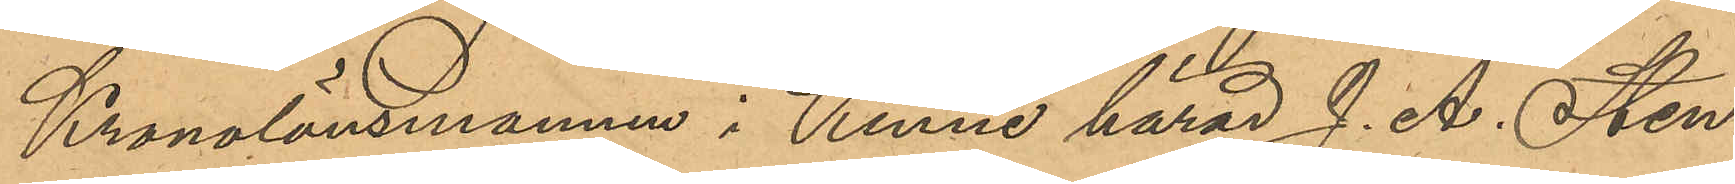Kronolänsmannen i Kinne härad J. A. Sten¬
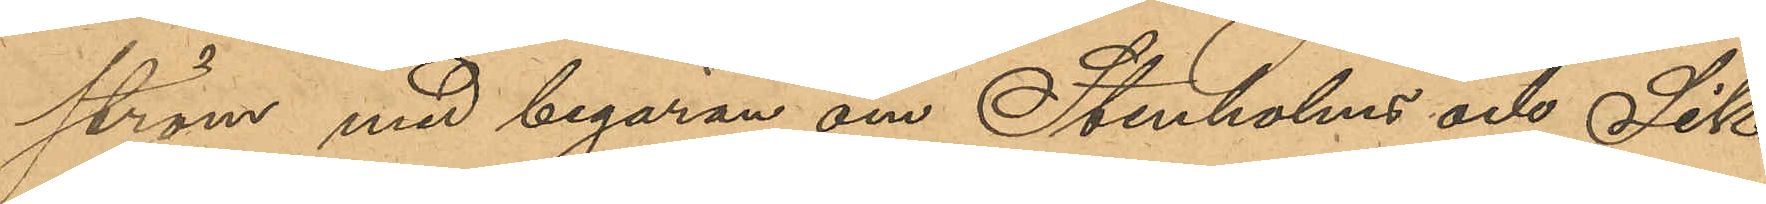ström med begäran om Stenholms och Sik¬
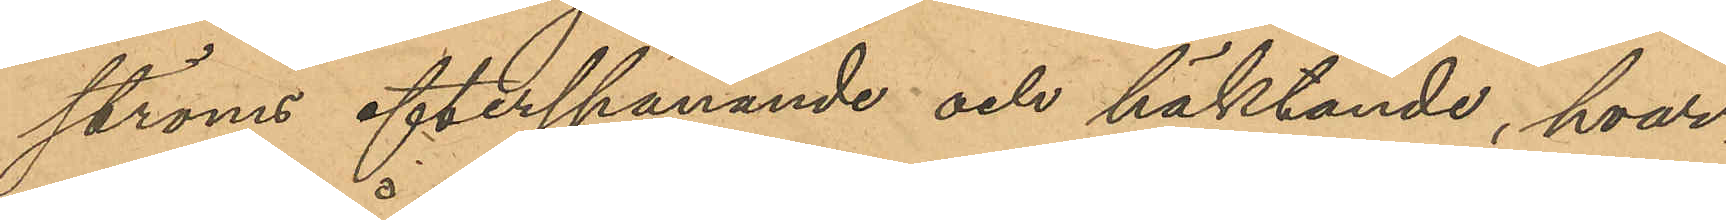ströms efterspanande och häktande, hvar¬
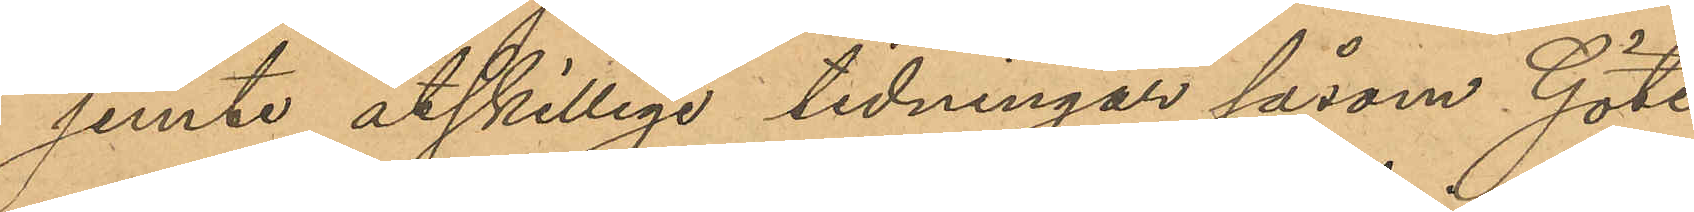jemte åtskilliga tidningar såsom Göte¬
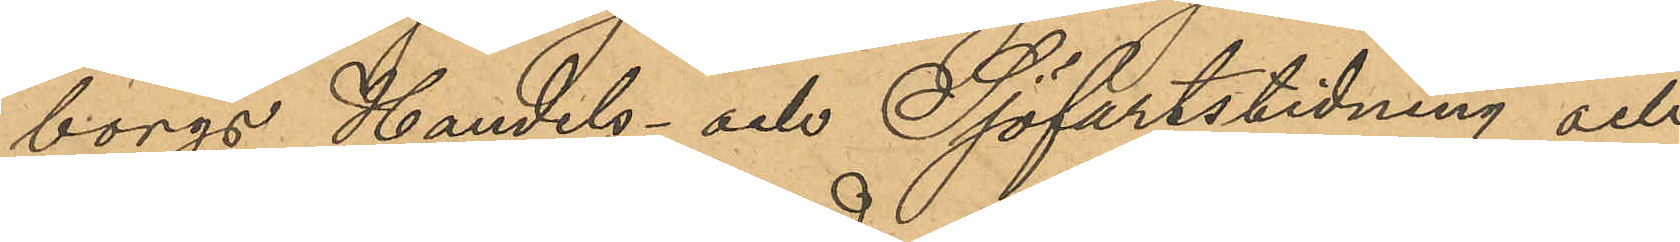borgs Handels- och Sjöfartstidning och
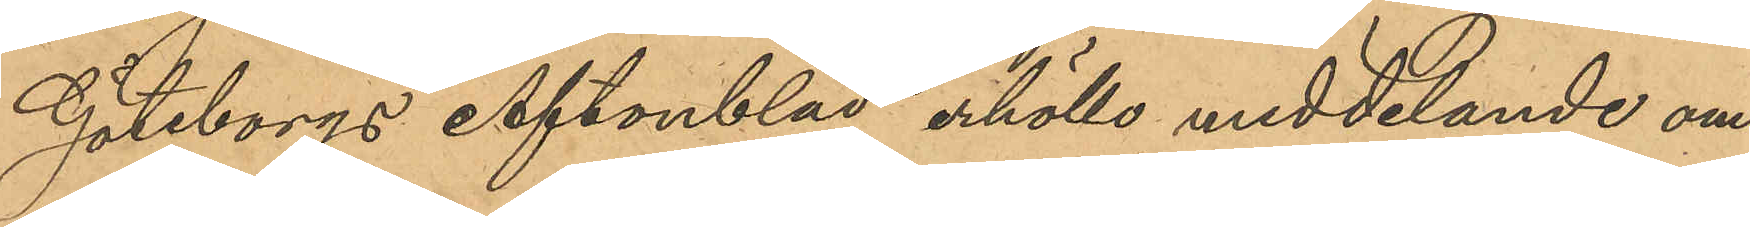Göteborgs Aftonblad erhöllo meddelande om
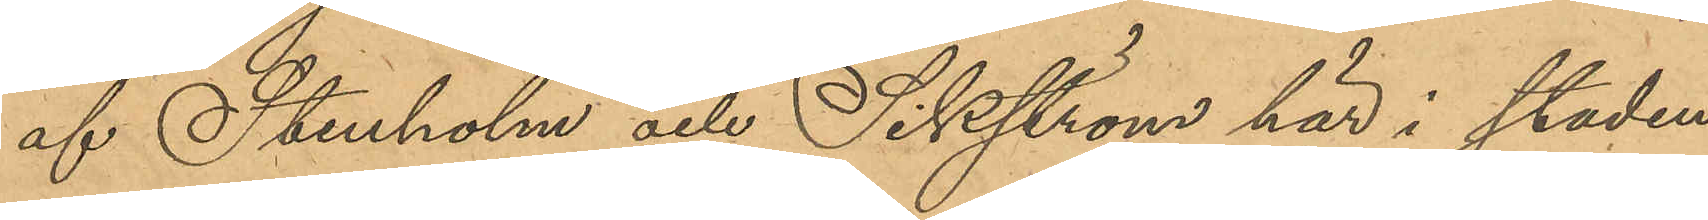af Stenholm och Sikström här i staden
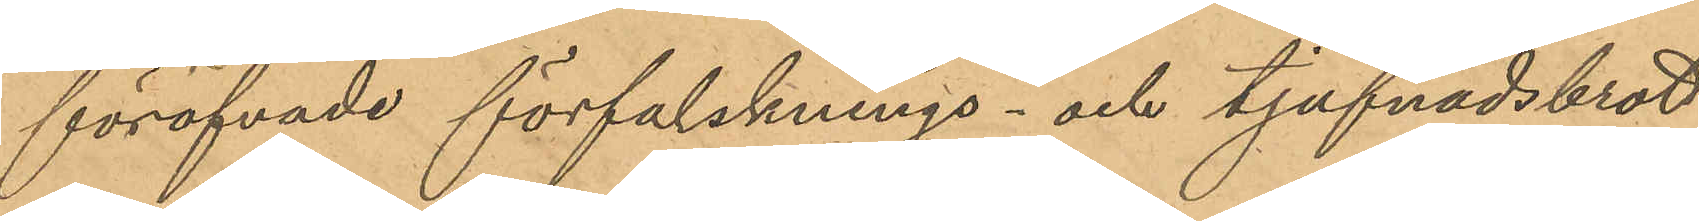föröfvade förfalsknings- och tjufnadsbrott.
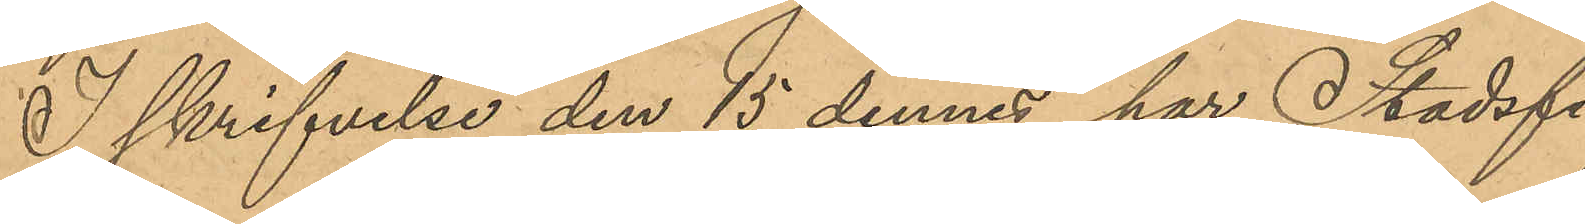I skrifvelse den 15 dennes har Stadsfi¬
